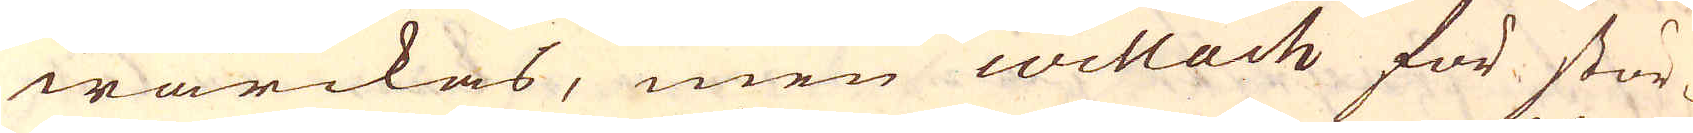wärckas, men willach för stör-
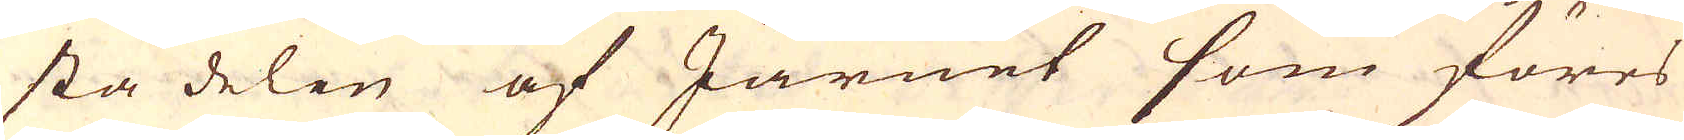sta delen af Järnet som föres
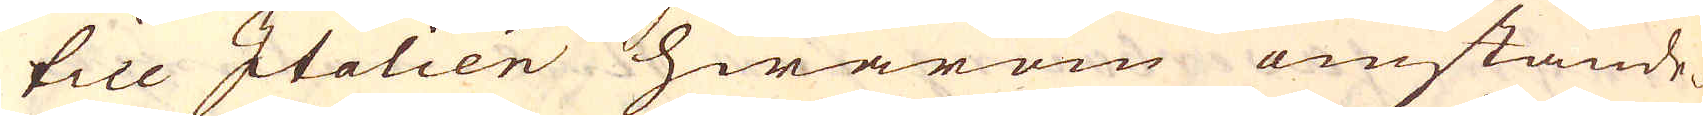till Italien hwarom omstände-
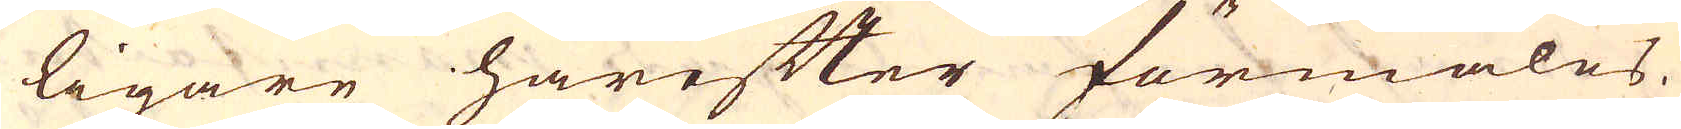ligare härefter förmäles.
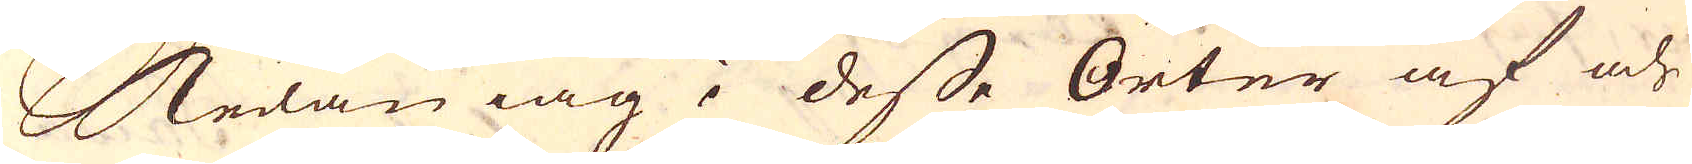Sedan iag i desse Orter af och
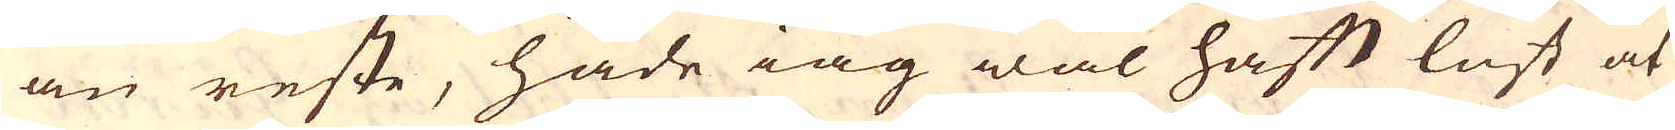an reste, hade iag wäl haft lust at
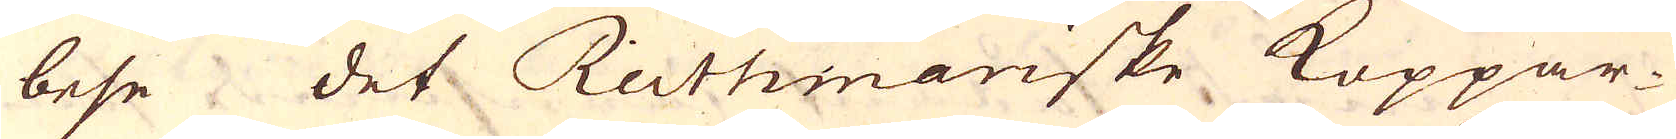bese det Reithmariske Koppar-
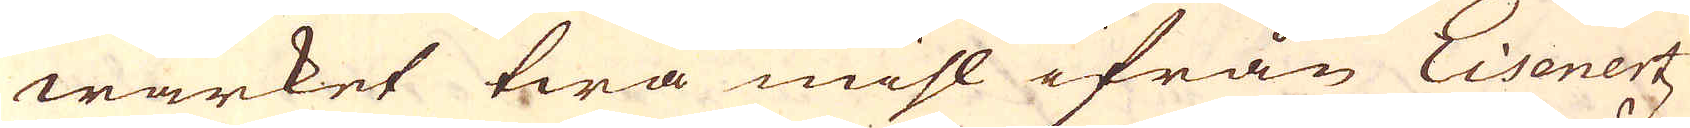wärket twå mihl ifrån Eisenertz
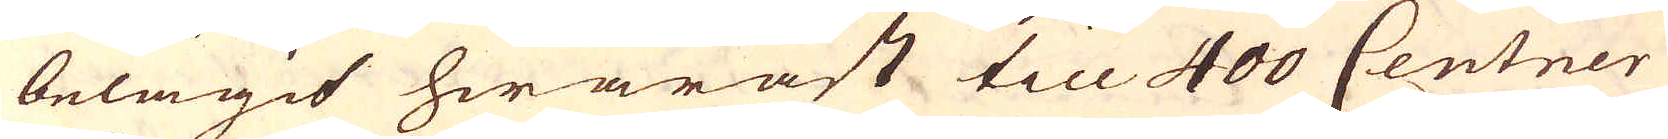belägit hwaräst till 400 Centner
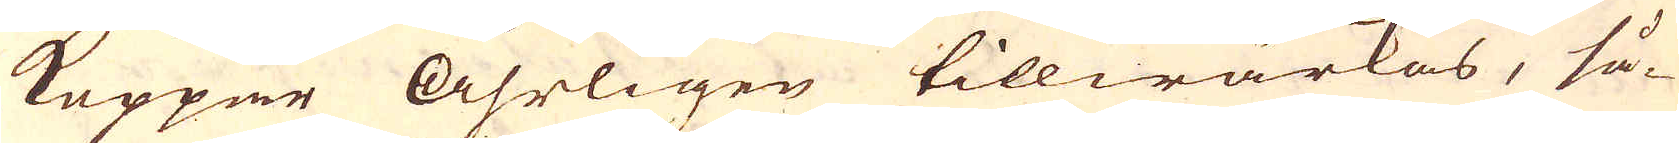Koppar Åhrligen tillwärkas, så-
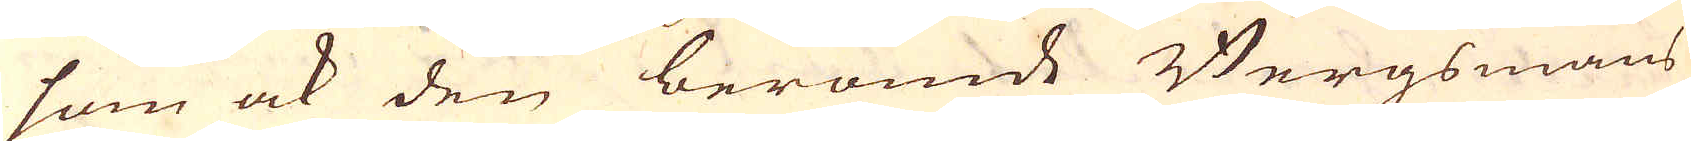som ock den berömde Bergsmans
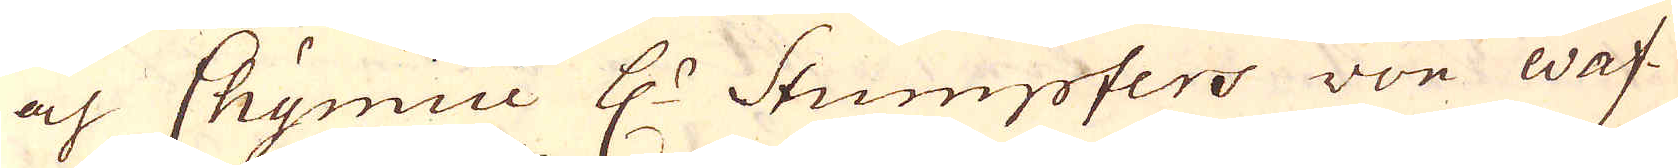och Chymici H:r Stumpfers von waf-
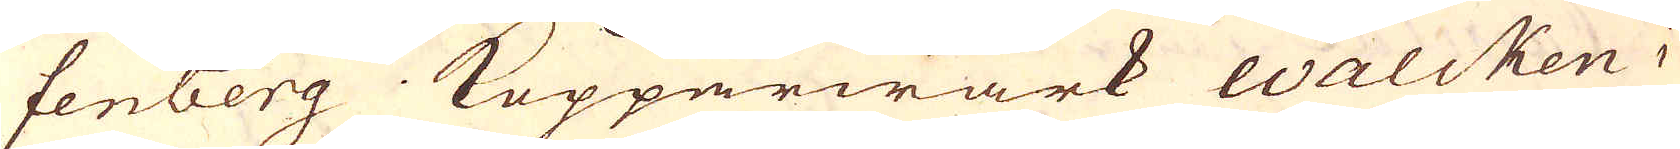fenberg Kopparwärk walcken i
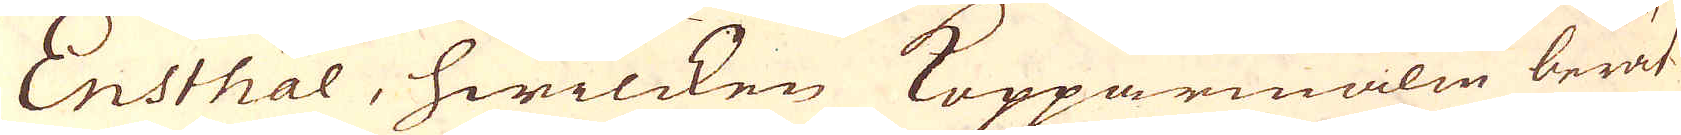Ensthal, hwilcken Kopparmalm berät-
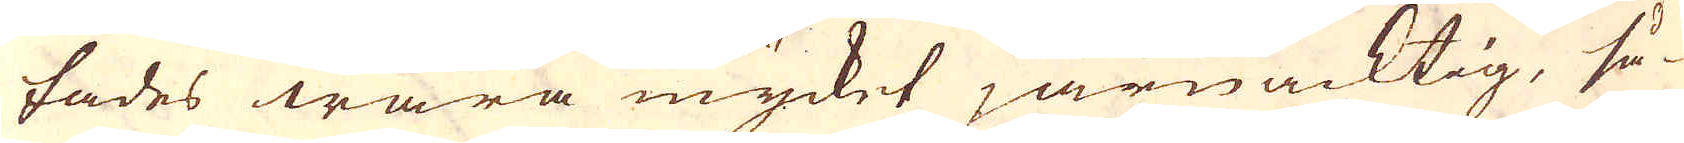tades wara mycket järn acktig, så-
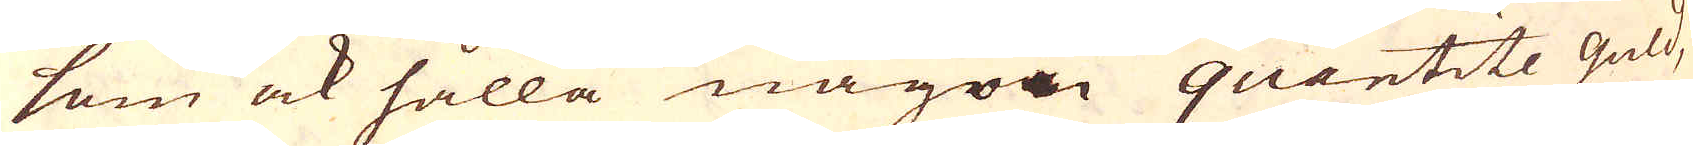som ock hålla någon quantite guld,
